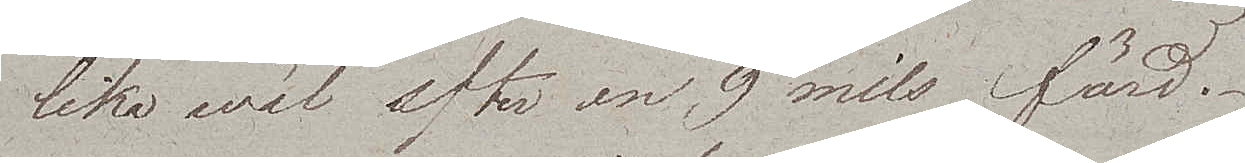lika wäl efter en 9 mils färd.
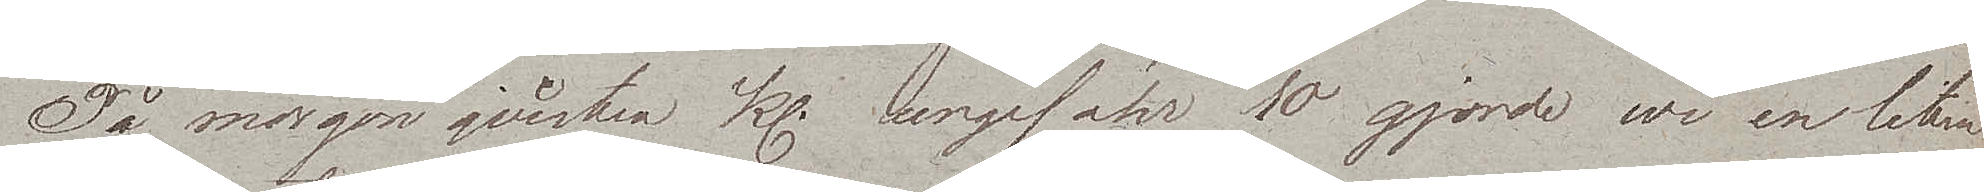På morgonqvisten kl. ungefähr 10 gjorde wi en liten
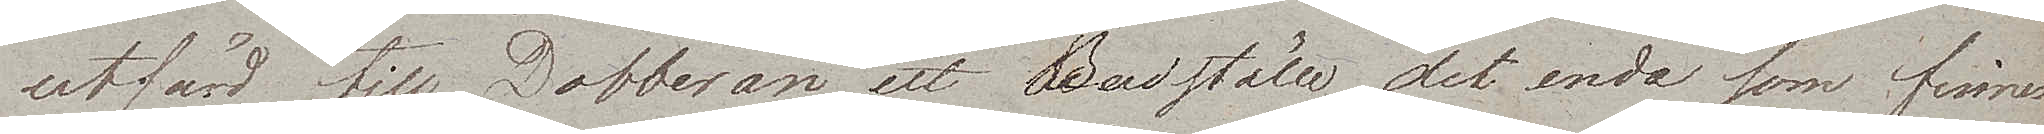utfärd till Dobberan ett Badställe, det enda som finnes
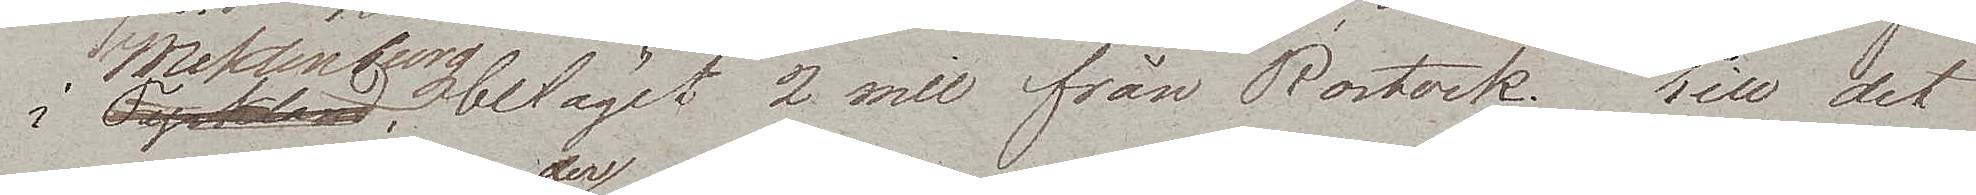i Meklenburg, beläget 2 mil från Rostock. Till det
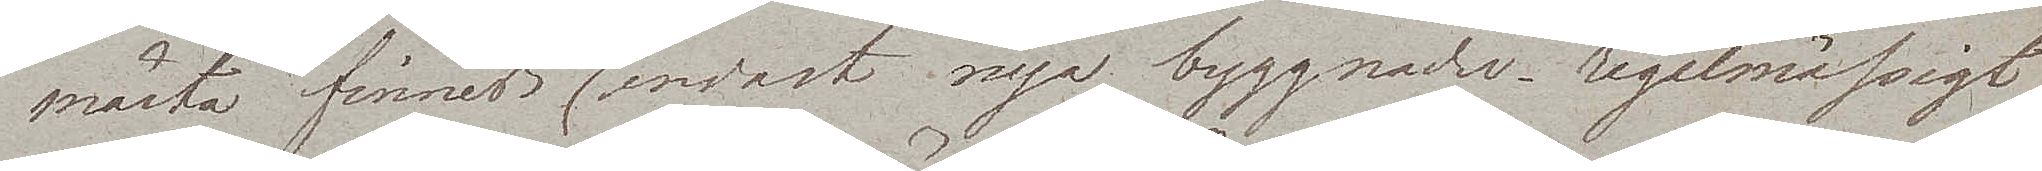mästa finnes der endast nya byggnader, regelmässigt
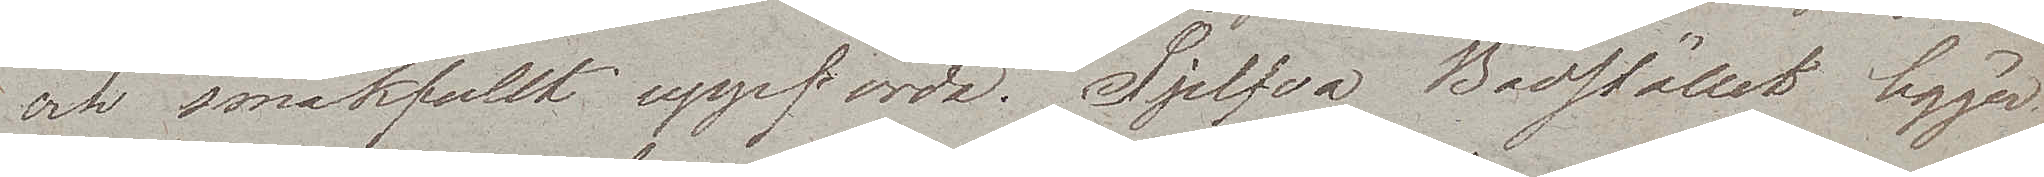och smakfullt uppförda. Sjelfva Badstället ligger
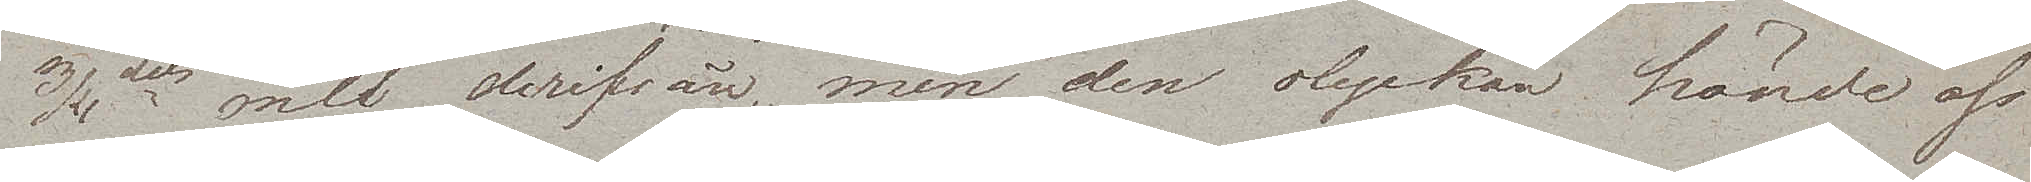3/4dels mil derifrån, men den olyckan hände oss
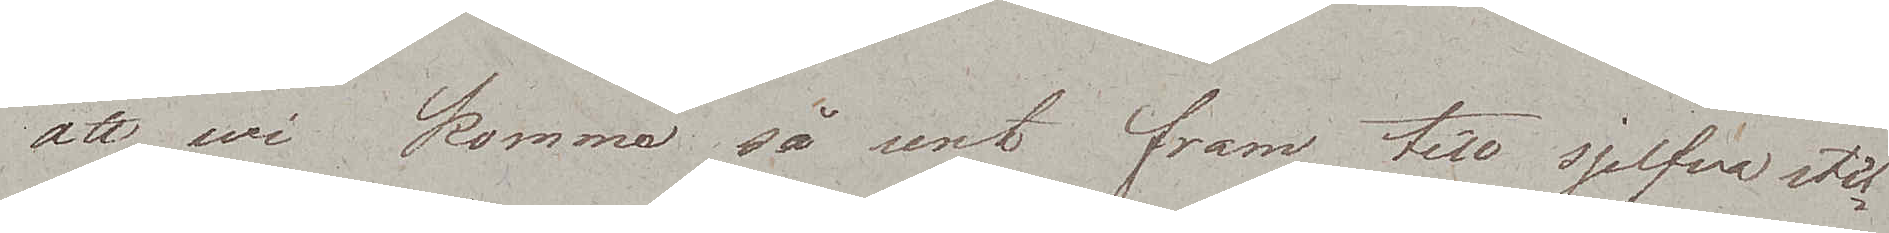att wi kommo så sent fram till sjelfva stäl¬
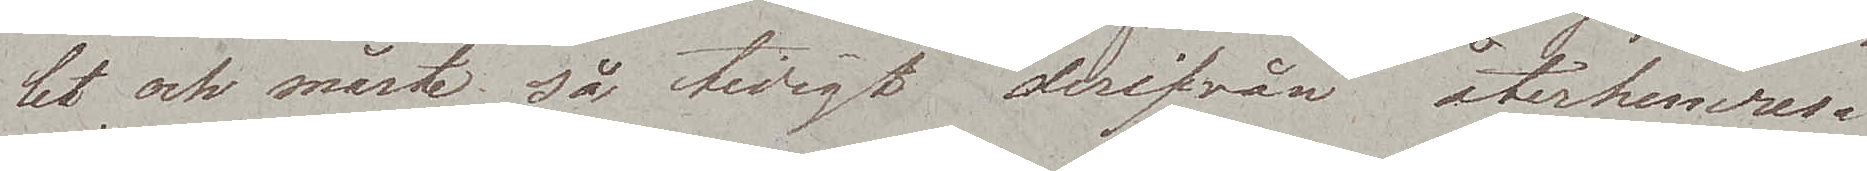let och måste så tidigt derifrån återhemresa
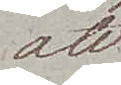att
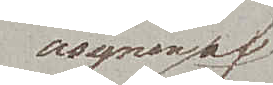åsynen af
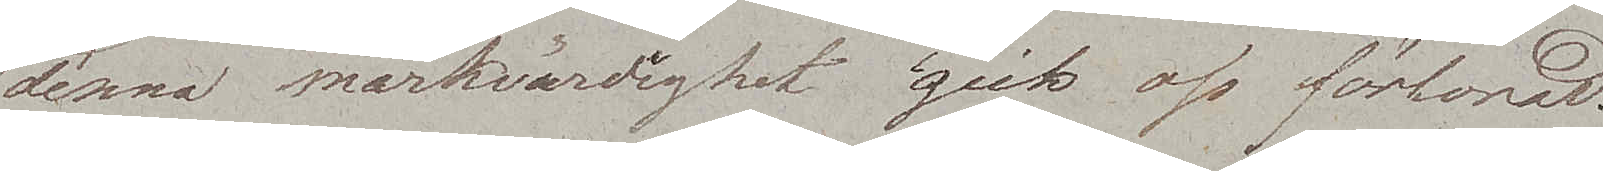denna märkvärdighet gick oss förlorad.
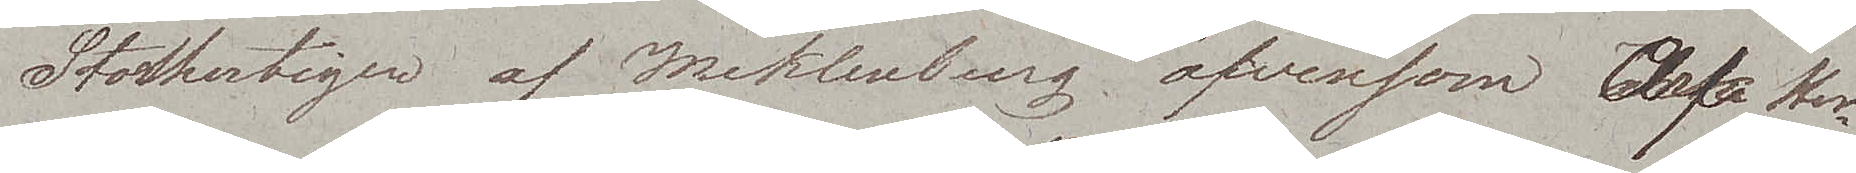Storhertigen af Meklenburg äfvensom Erke Her¬
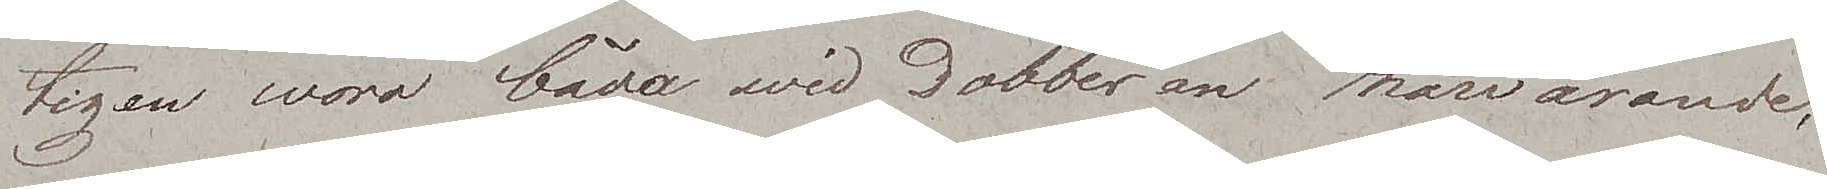tigen woro båda wid Dobberan närvarande,
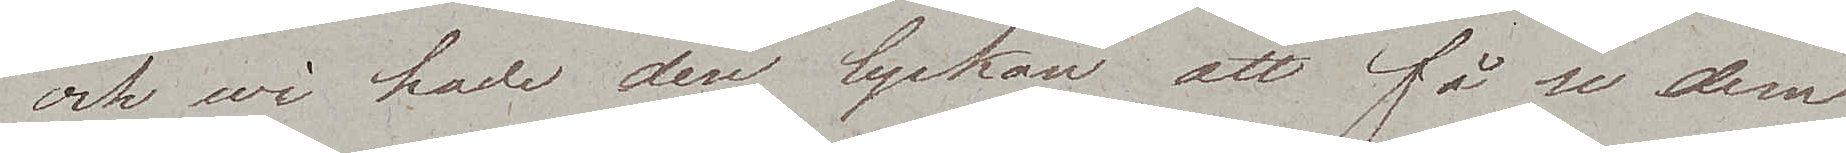och wi hade den lyckan att få se dem
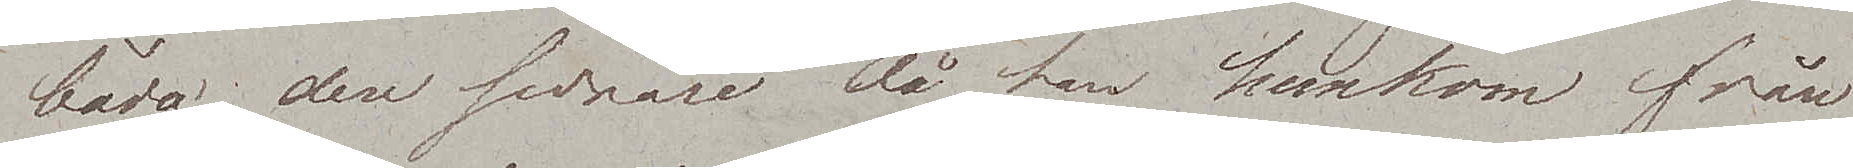båda, den sednare då han hemkom från
